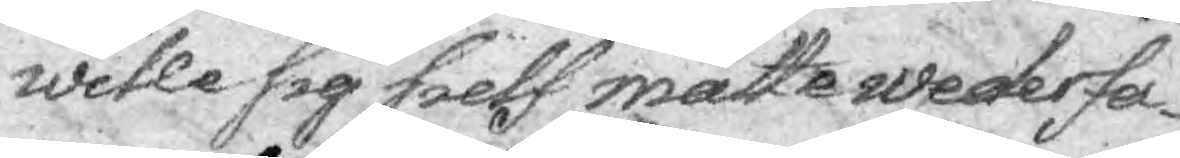wille sig sielf måtte wederfa¬
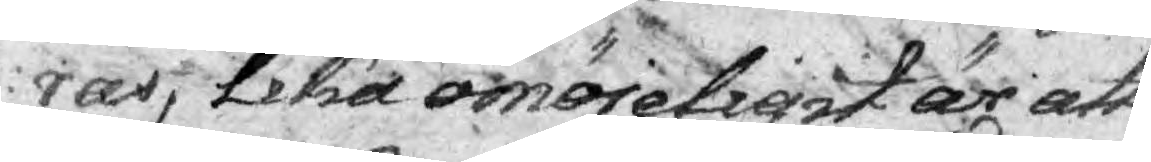ras, lika omöjeligit är att
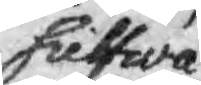sielfwa
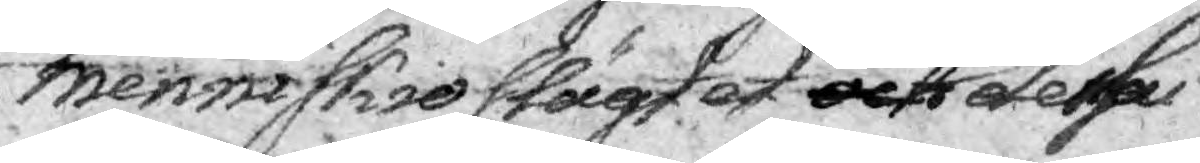Menniskio slägtet och mindre dessa
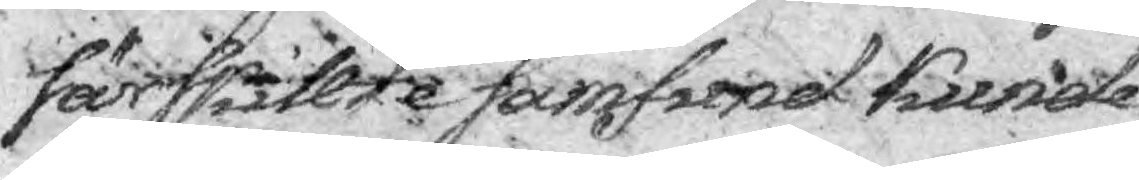särskillte samfund kunde
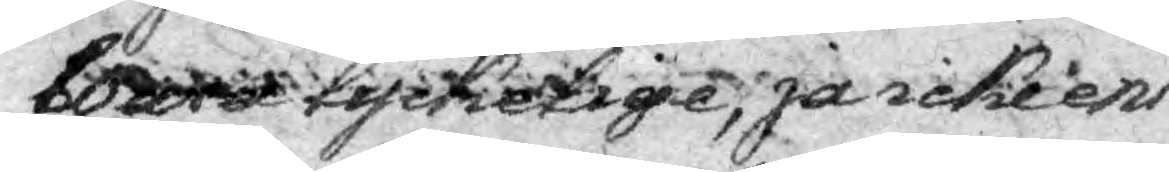bowra lyckelige, ja icke ens
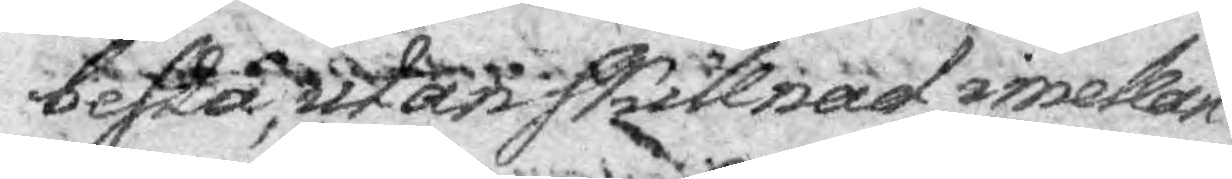besta, utan skillnad imellan
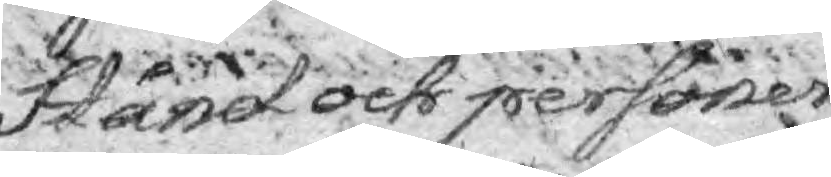stånd och personer.
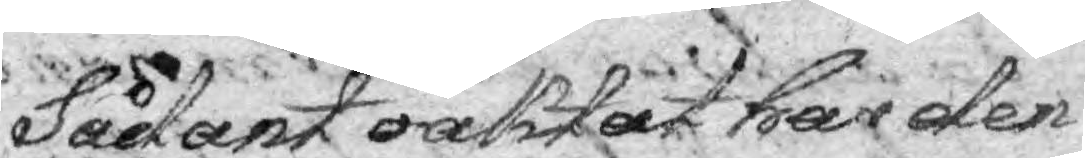Sådant oaktat har den
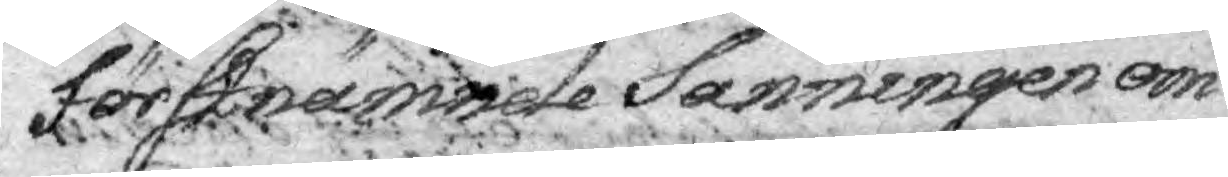förstnämnde Sanningen om
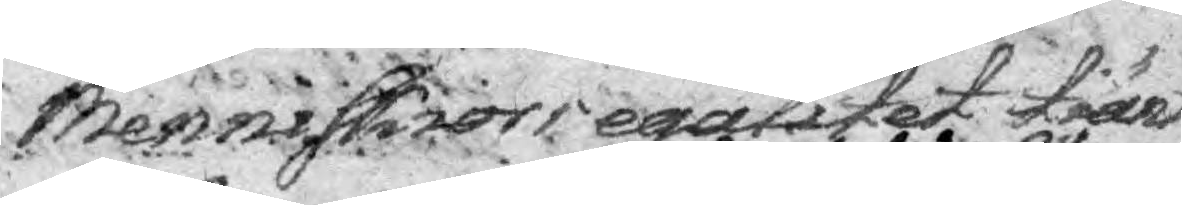Menneskiors egalitet tiänt
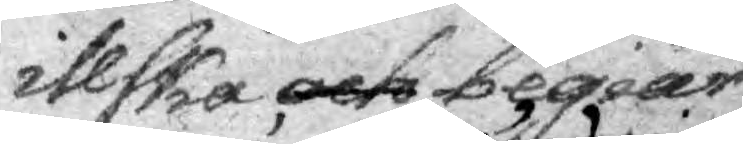illska och begiär
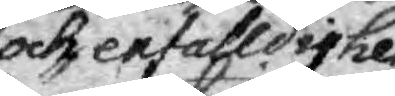och enfalldighet
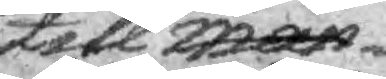till man¬
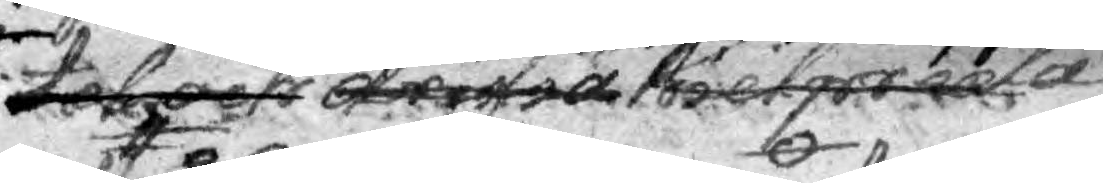tal och drifra hwit pruta
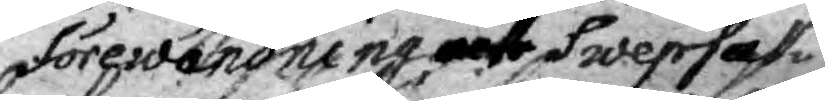förewändning och swepsak
